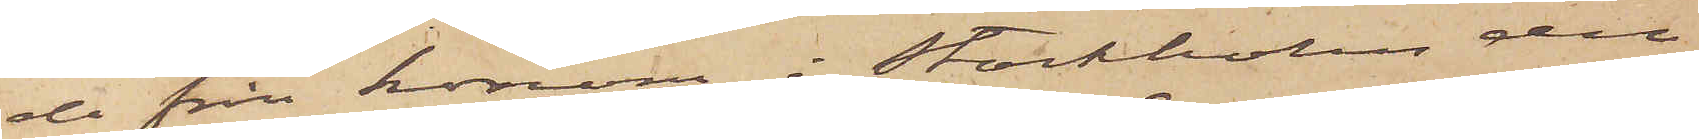de från honom i Stockholm de
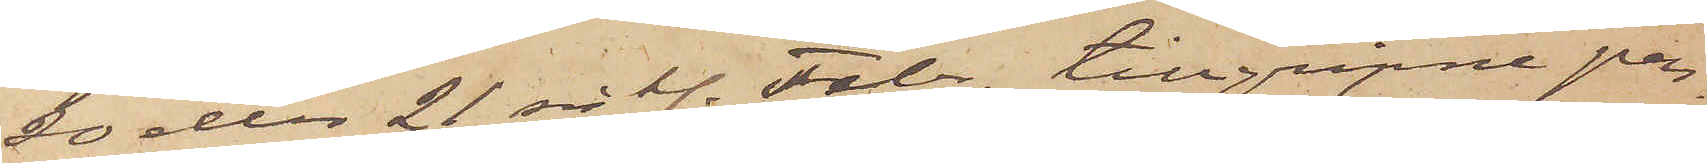20 den 21 sistl. Febr. tillgripne pen¬
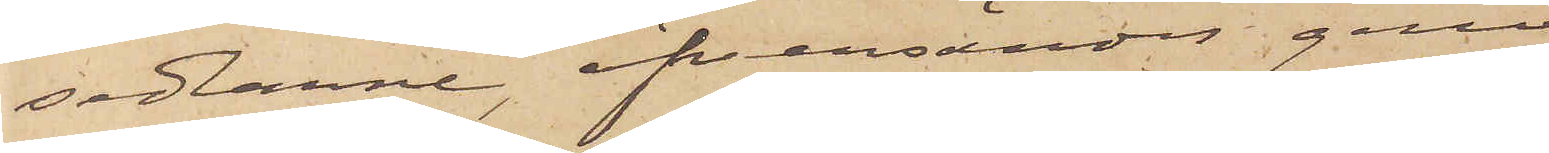sedlarne, öfversändes genom
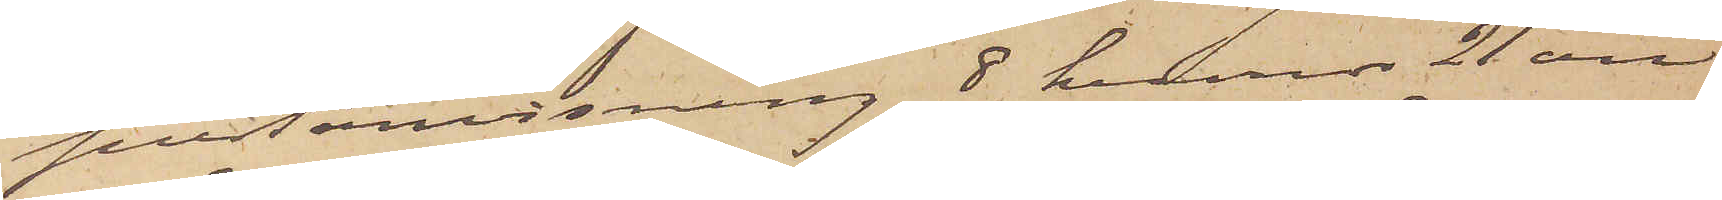postanvisning 8 kronor 21 öre
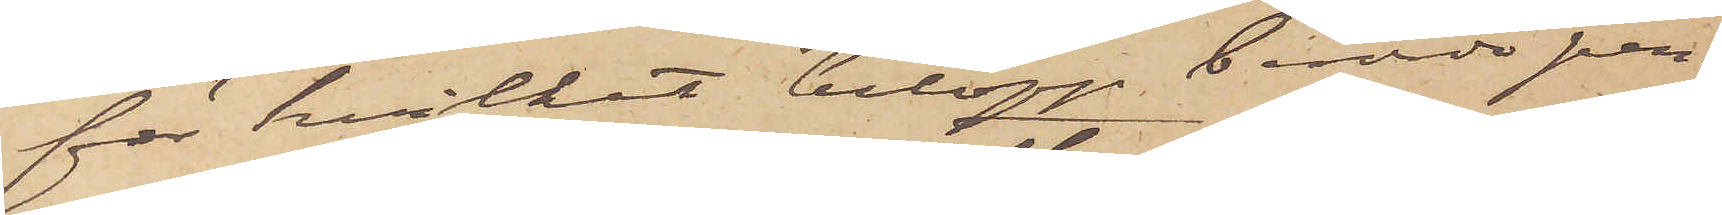för hvilket belopp berörde per¬
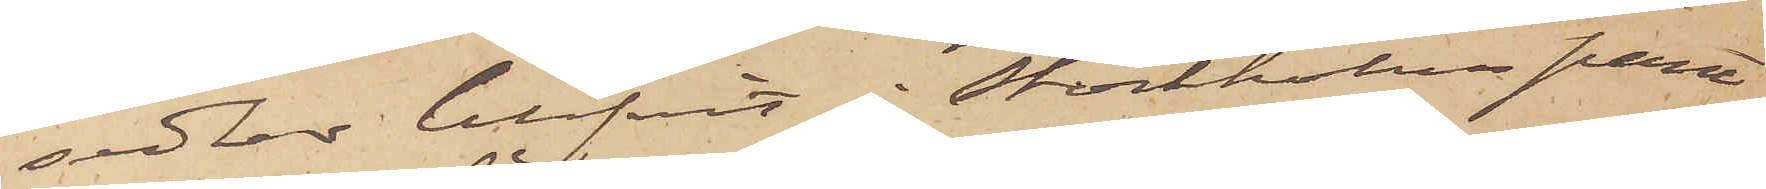sedlar blifvit i Stockholm pant¬
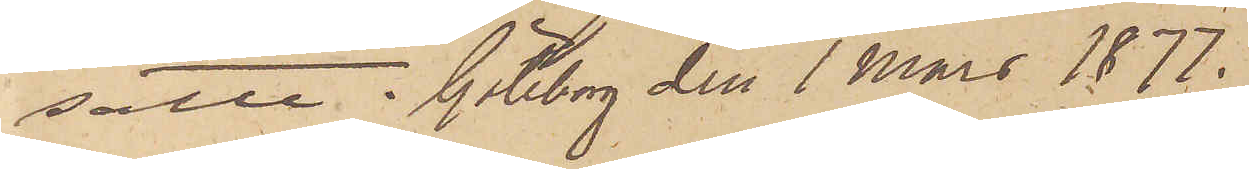satte. Göteborg den 1 Mars 1877.
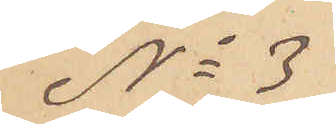No 3
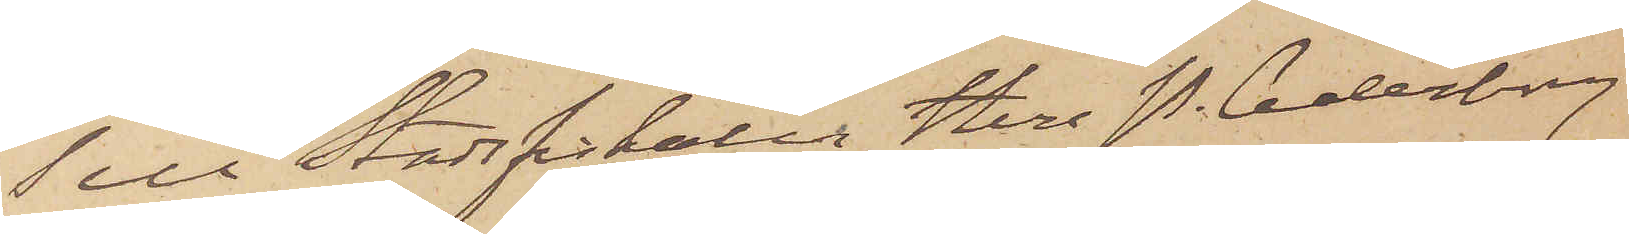Till Stadsfiskalen Herr P. Cederborg
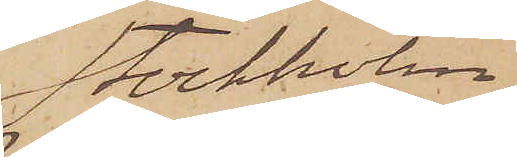Stockholm
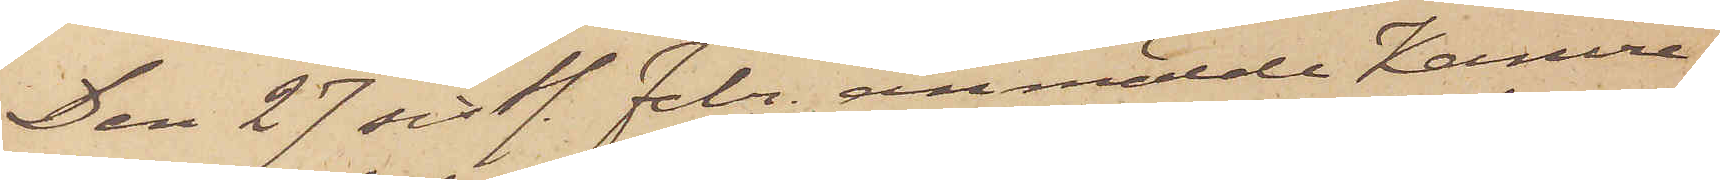Den 27 sistl. Febr. anmälde Kamere¬
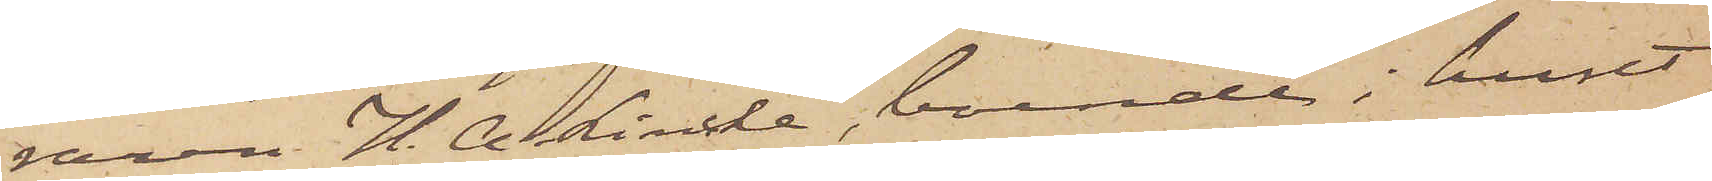raren H. A. Lincke, boende i huset
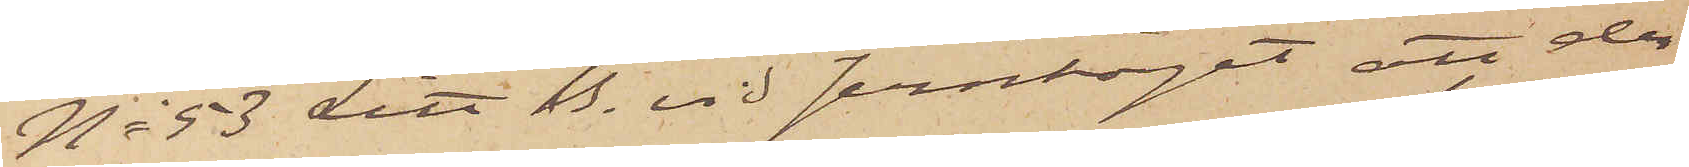No 53 Litt B. vid Jerntorget att der¬
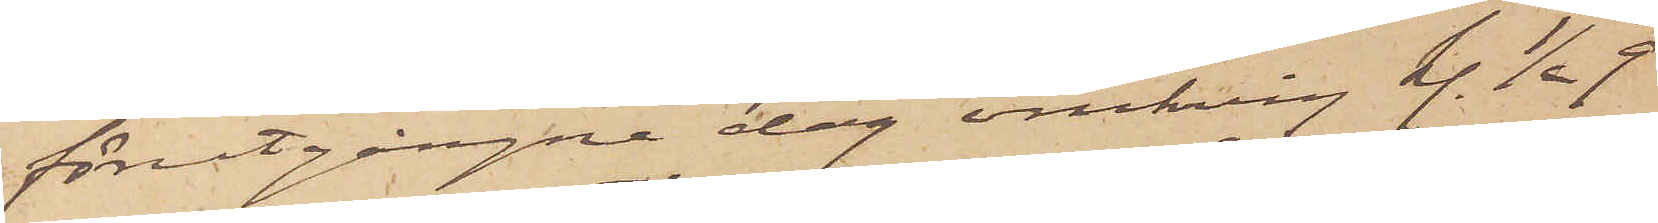förutgångne dag omkring kl. 1/2 9
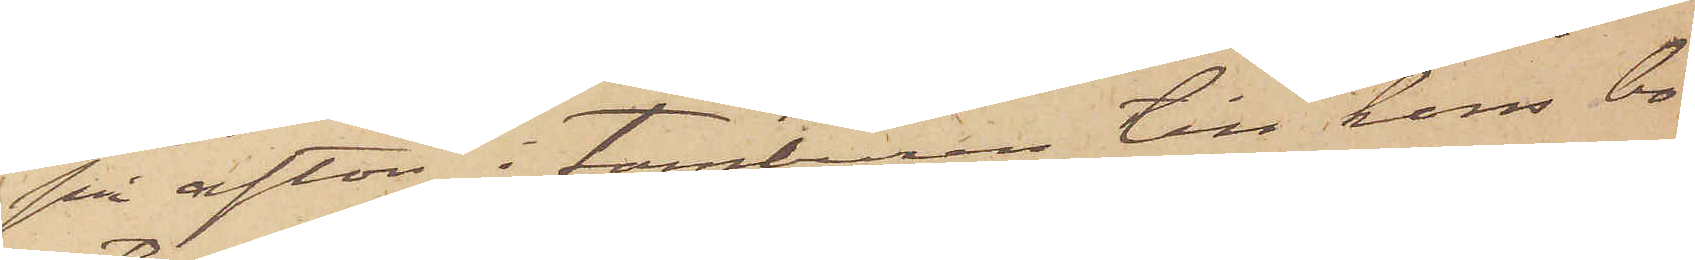på afton i tamburen till hans bo¬
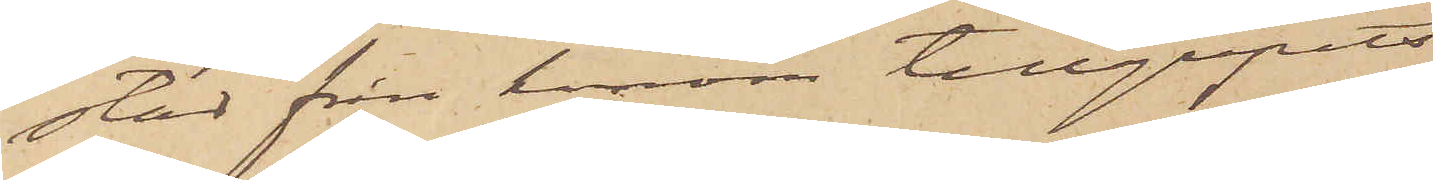stad från honom tillgripits
